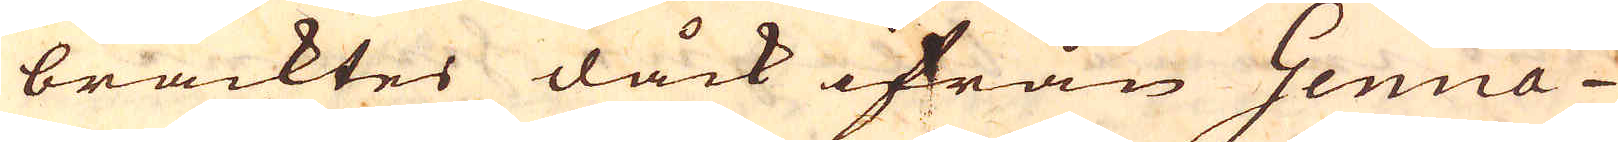bracktes dåck ifrån Genua
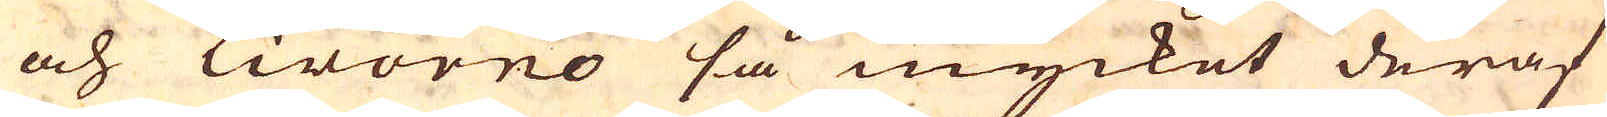och Livorno så mycket deraf
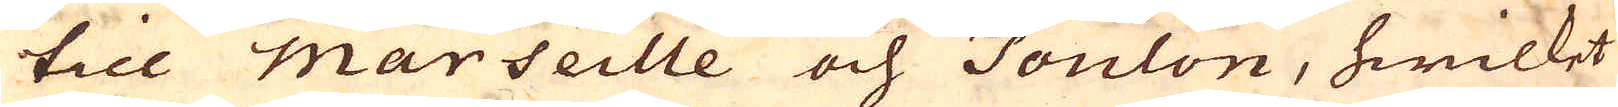till Marseille och Toulon, hwilket
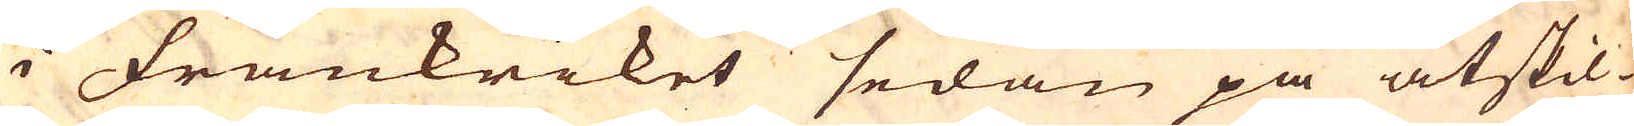i Frankriket sedan på åtskil-
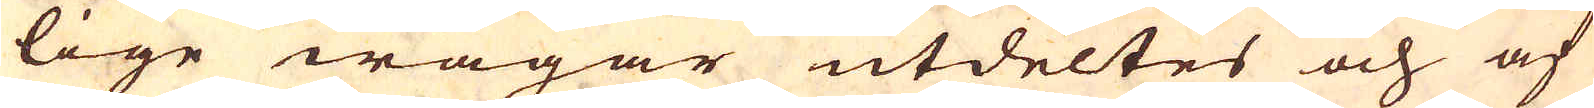lige wägar utdeltes och af
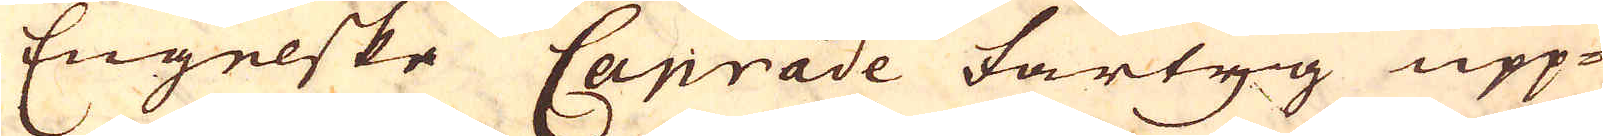Engelske Canrade fartyg upp-
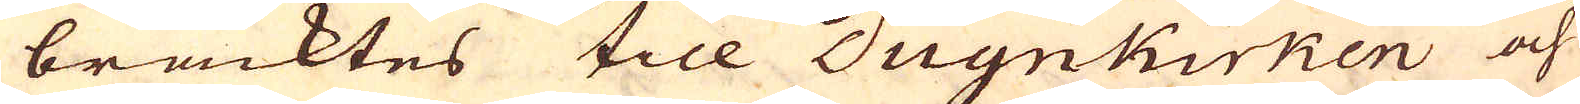bracktes till Dugnkirken och
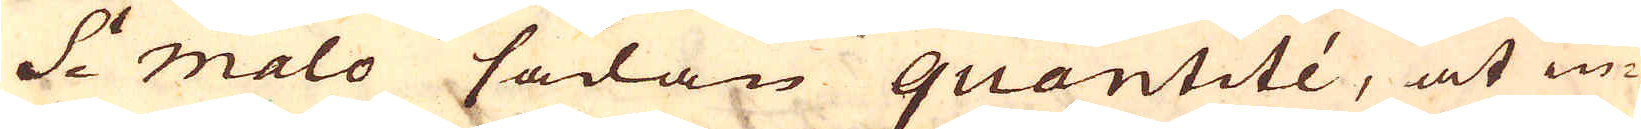S:t malo sådan quantité, at in-
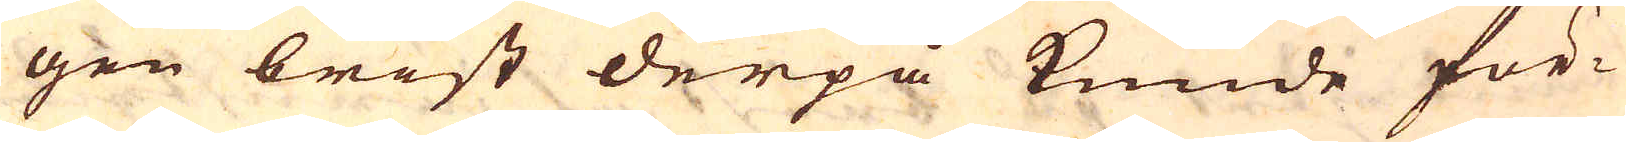gen brist derpå kunde för-
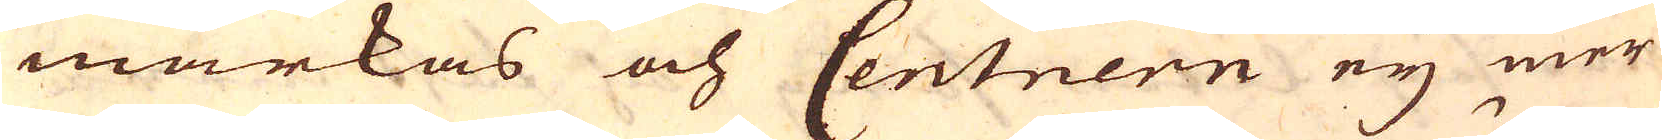märkas och Centnern eij mer-
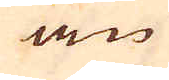än
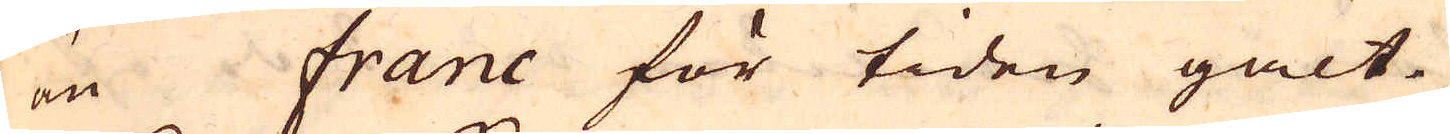än franc för tiden galt.
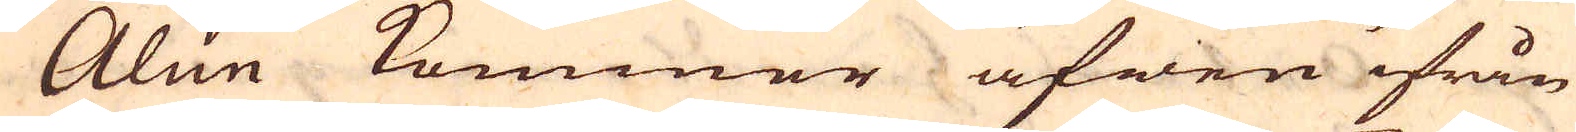Alun kommer äfwen ifrån
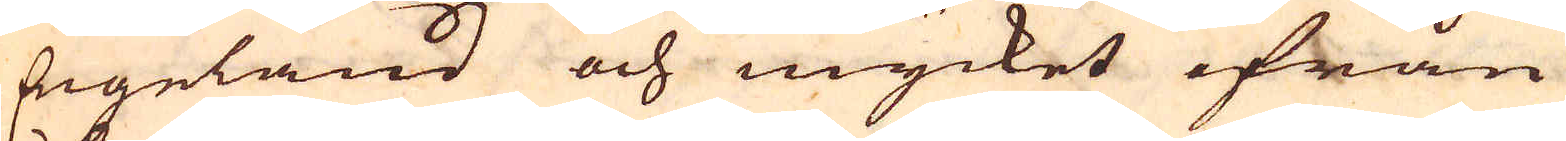Engeland och mycket ifrån
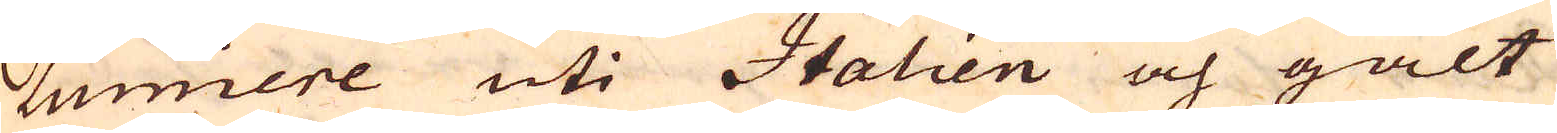Lumiere uti Italien och galt
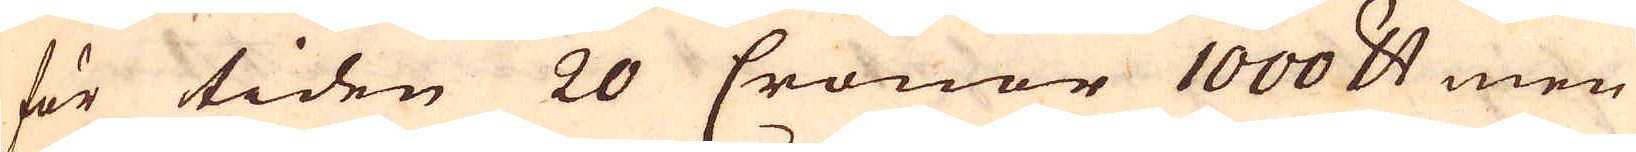för tiden 20 Cronor 1000 skålpund men
